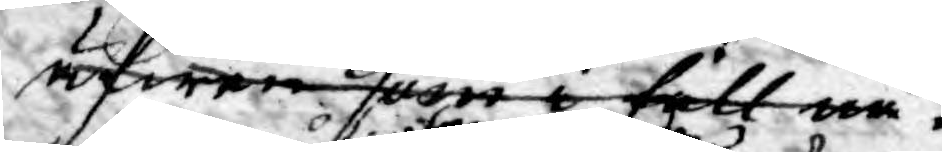äfwen som i fall nå¬.
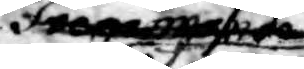fnem månde
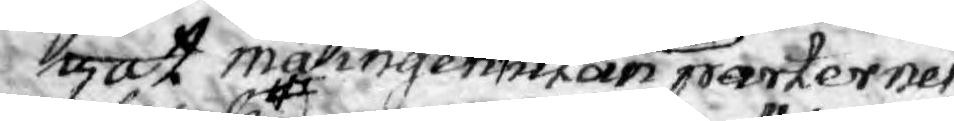got må ingen utan parternes
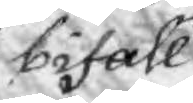bifall
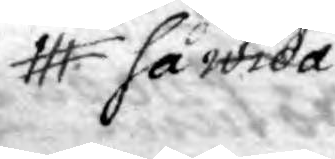så wida
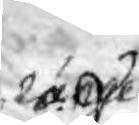länge
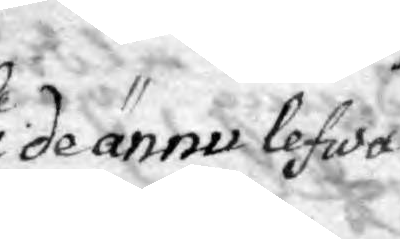de ännu lefwa
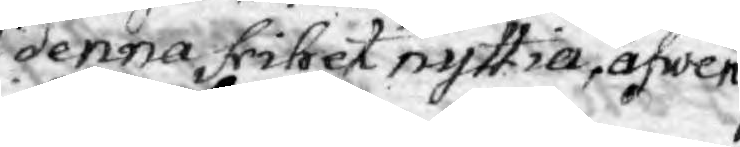denna frihet nyttia, äfwen
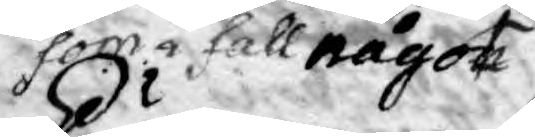som i fall något
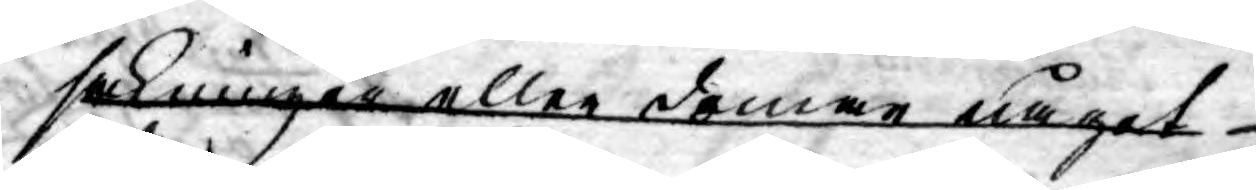sakningen eller domar något
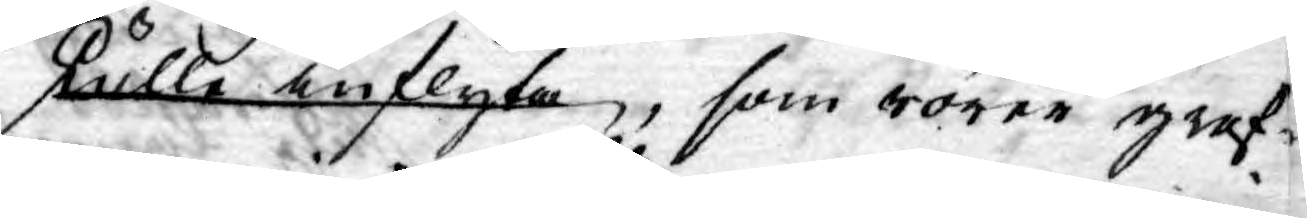skulle inflyta, som rörer graf¬
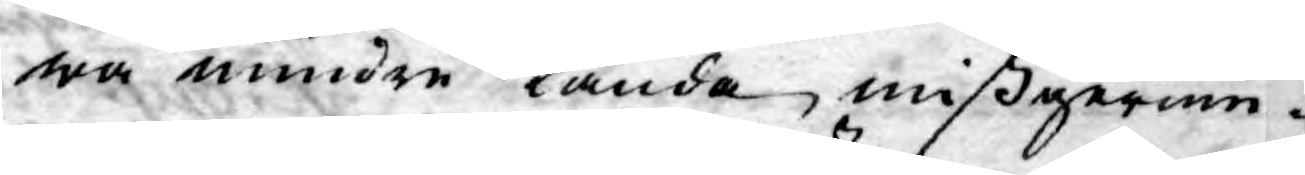wa mindre kända mißgerin¬
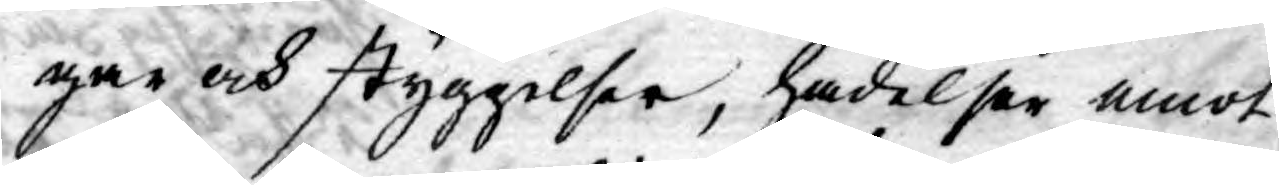gar och styggelser, hädelser emot
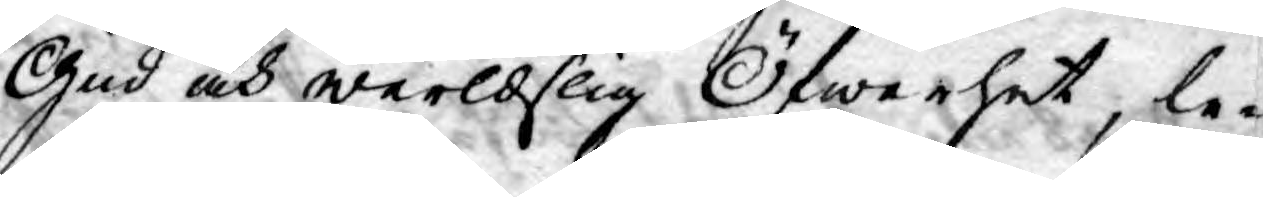Gud och werldslig Öfwerhet; le¬
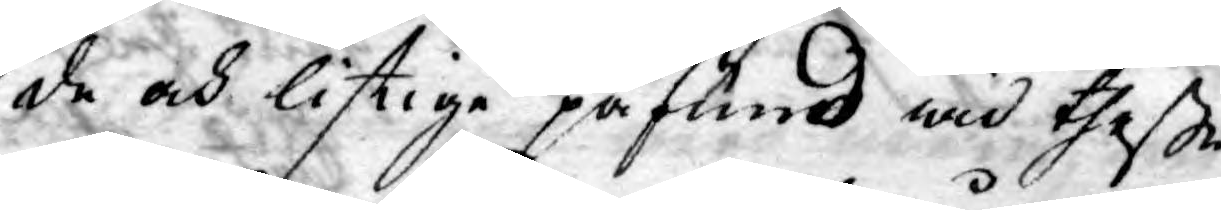de och listige påfund wid theße
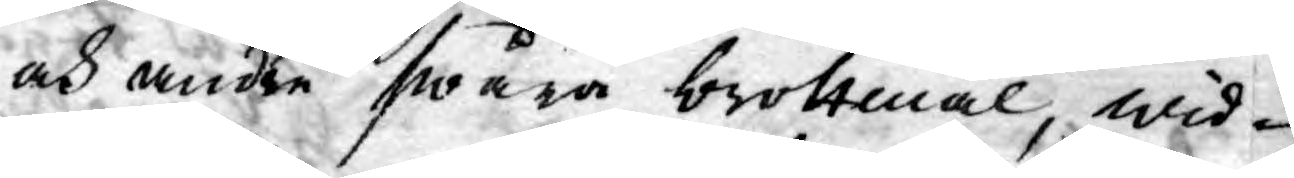och andre swåra brottmål, wid¬
